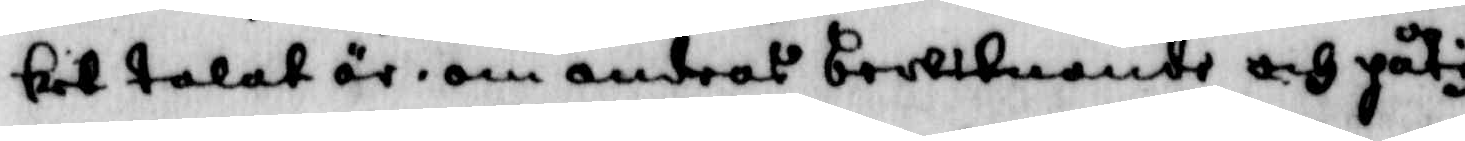kiet talat är, om andras bewiknande och påty¬
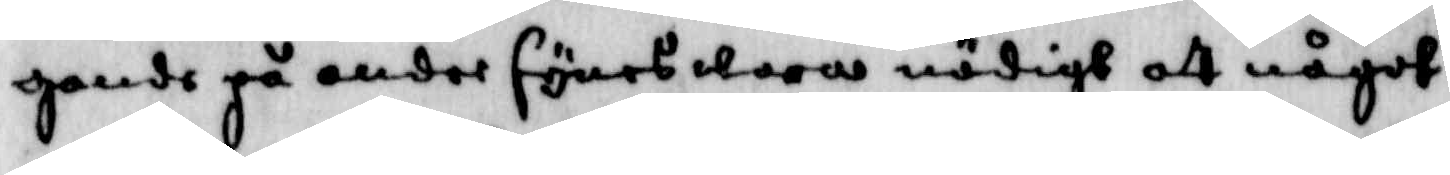gande på andre synes wara nödigt att något
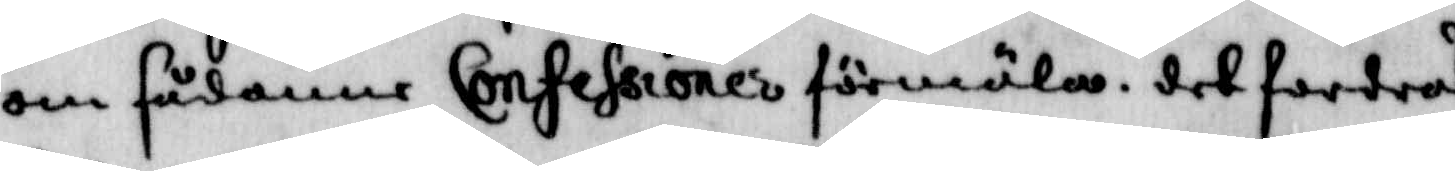om sådanne Confessioner förmäla, det fordras
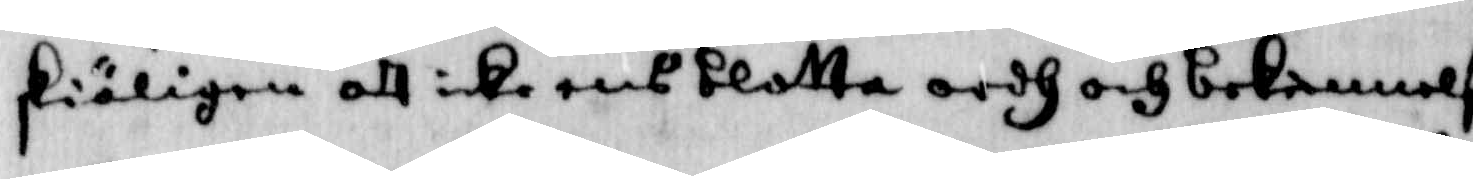skäligen att icke blotta ordh och bekännelse
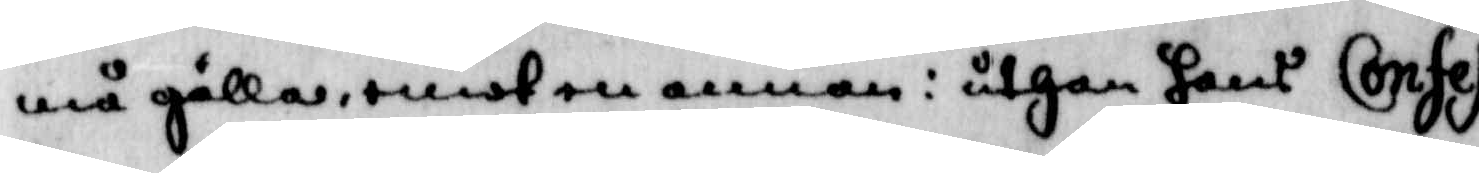må gälla, emot en annan: uthan hans Confes¬
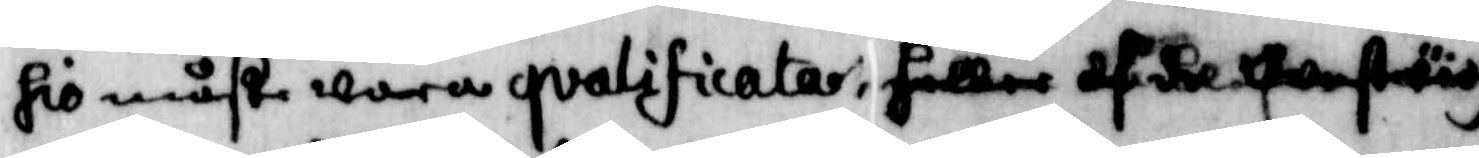sio måste wara qvalificatao; heller af de oanständ¬
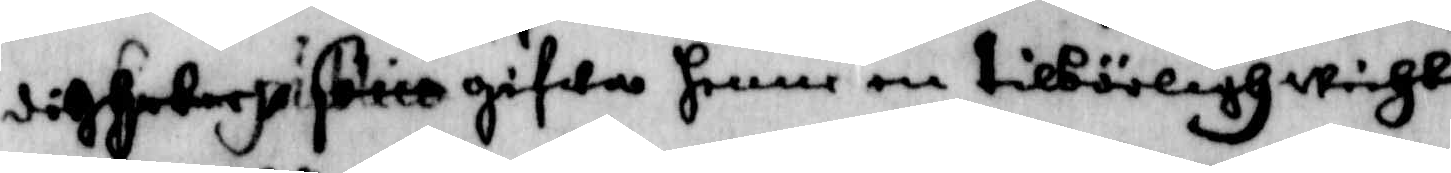digheter ja fano gifwa henne en tilbörligh wicht.
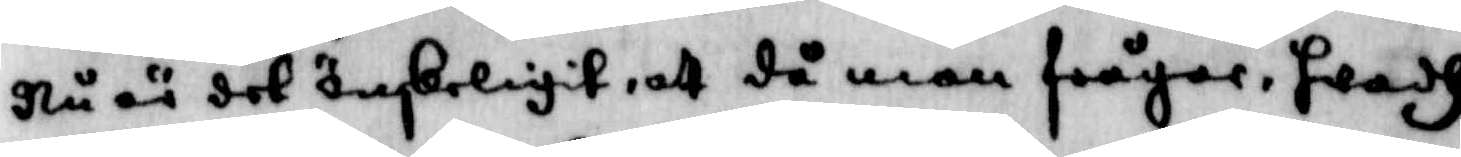Nu är det önskeligit, att då man frågar, hwadh
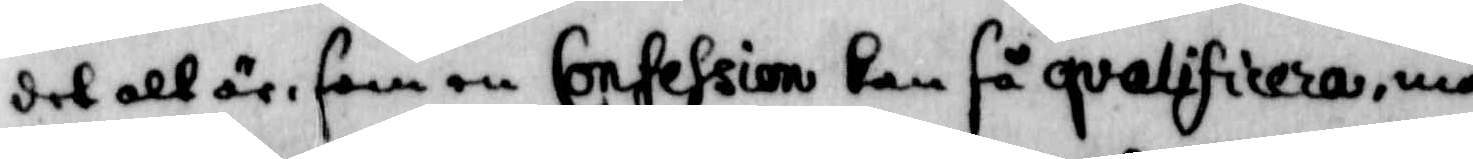det alt är. som en Confession kan få qvalificera, man
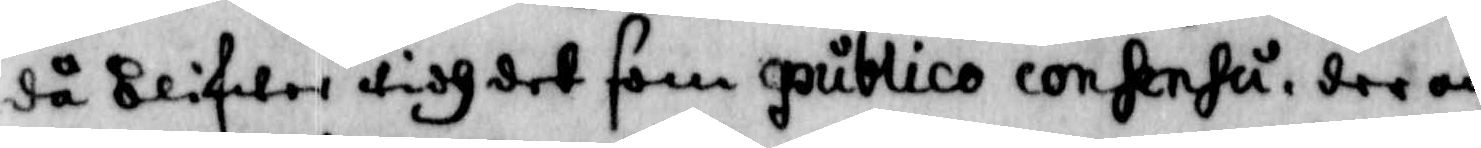då blifwer tidh det som publico consensa, der om
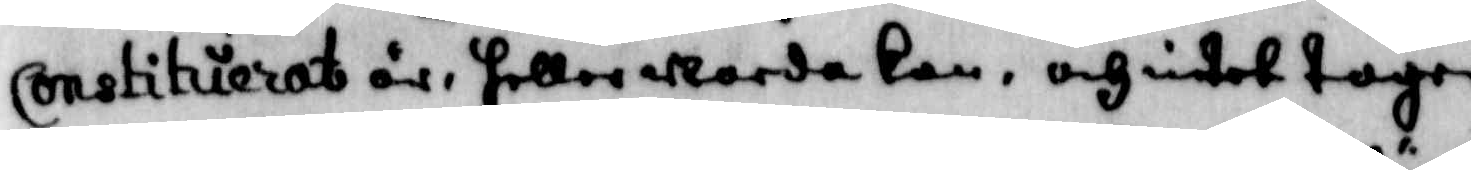Constituierat är, heller warda kan, och intet tager
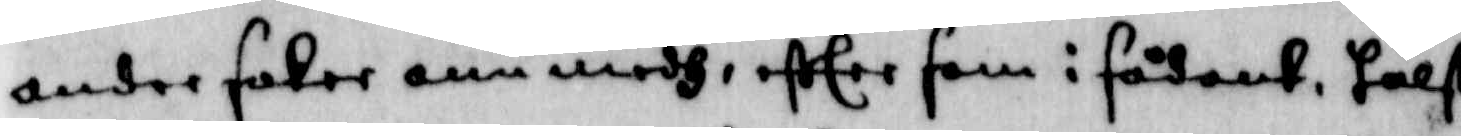andre saker onn medh, efter som i sådant, hälst 
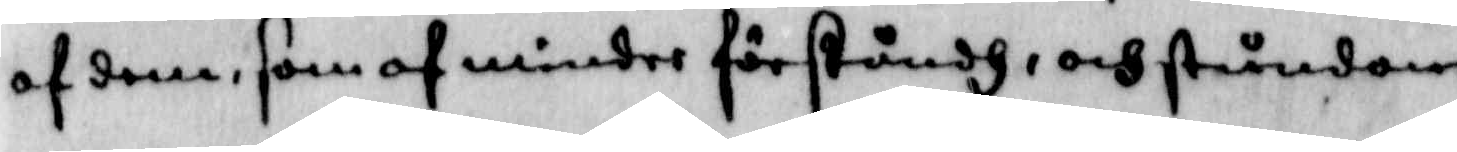af dem, som af mindre förståndh, och stundom
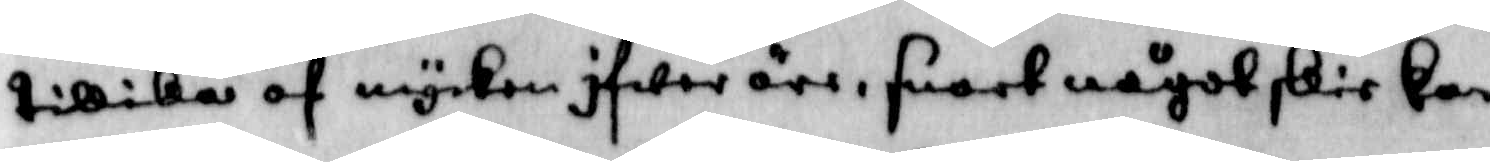tillika af mycken ifwer äre, snart något skie kan,
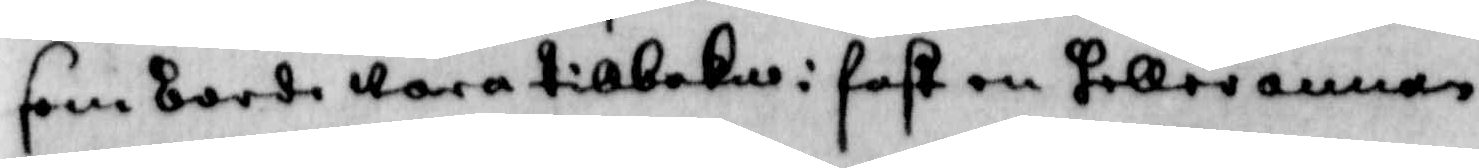som bodre wara tillbaka: fast en heller annan
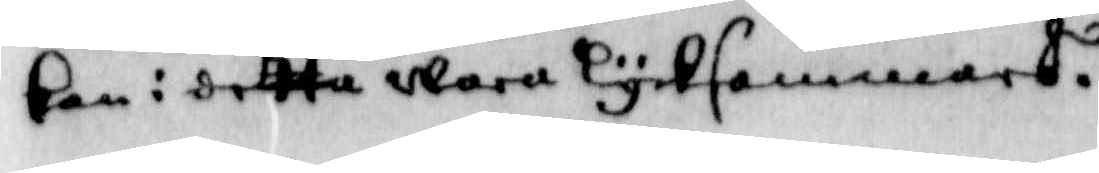kan i detta wara lyksammars.
